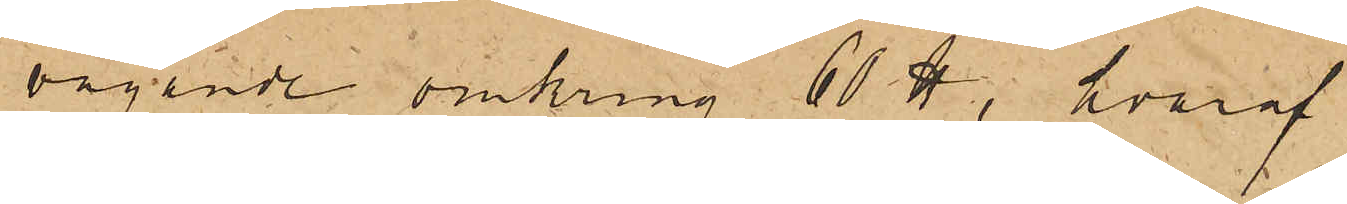vägande omkring 60 ℔, hvaraf
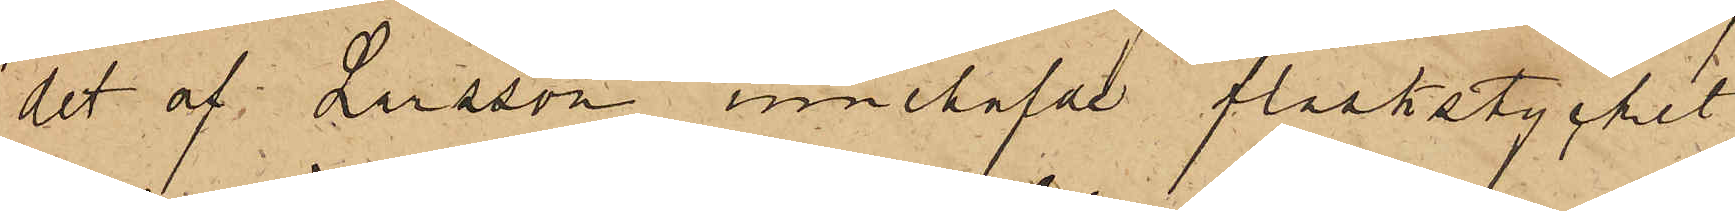det af Larsson innehafde fläskstycket
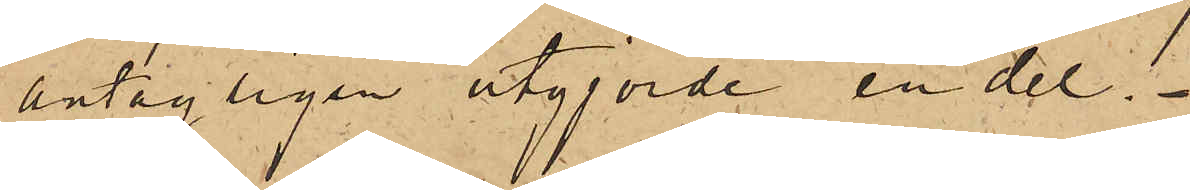antagligen utgjorde en del.
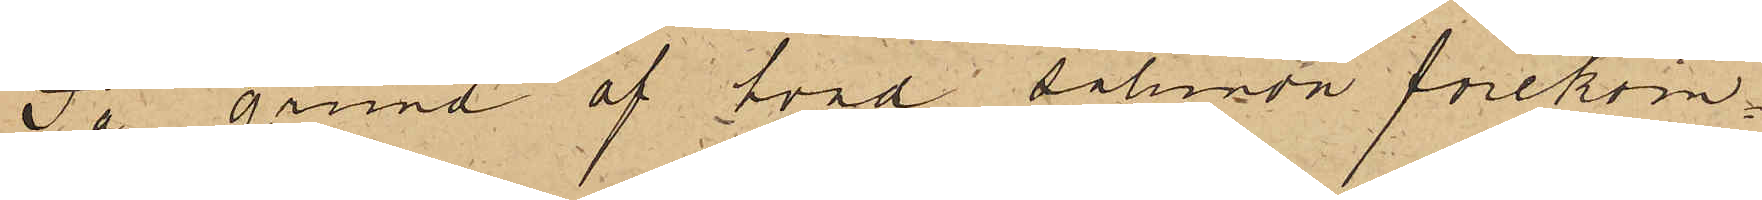På grund af hvad sålunda förekom¬
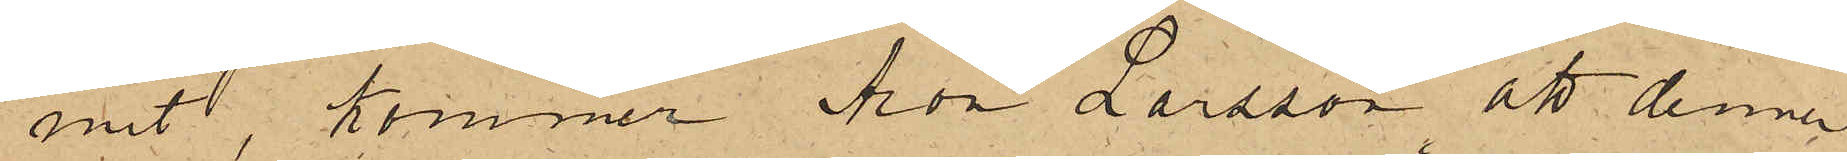mit, kommer Aron Larsson att denna
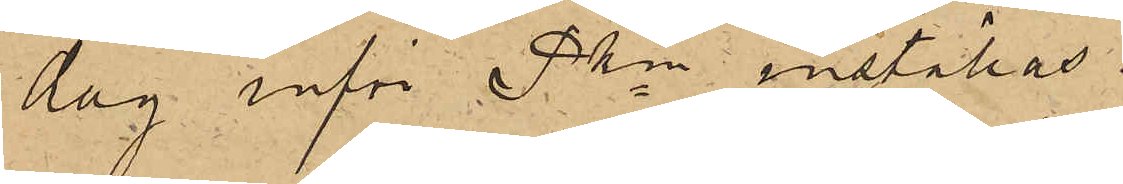dag inför Pkn inställas.
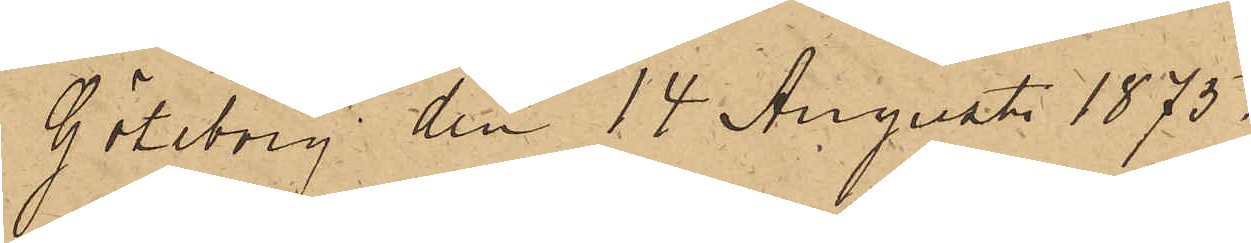Göteborg den 14 Augusti 1875.
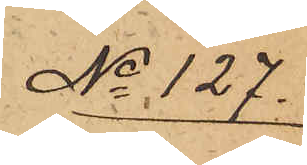No 127.
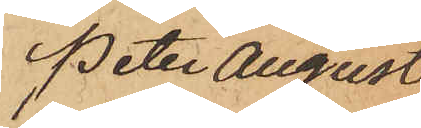Peter August
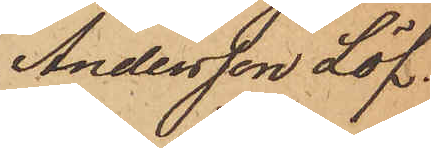Andersson Löf.
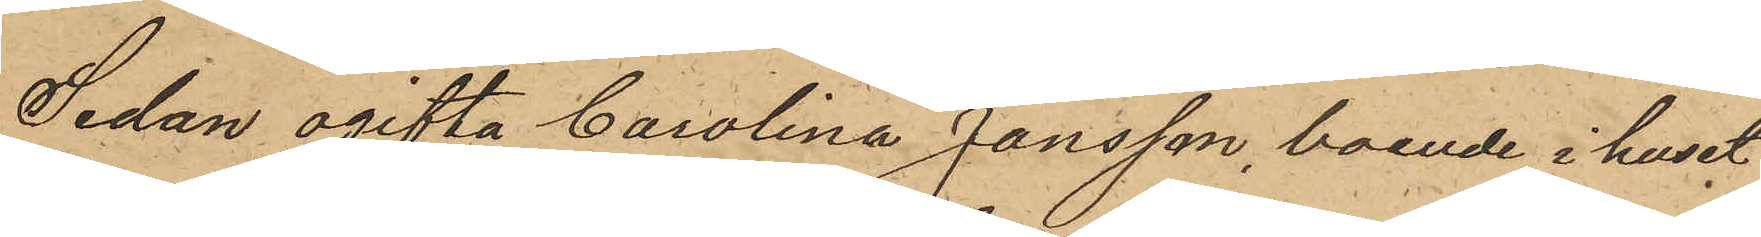Sedan ogifta Carolina Jansson, boende i huset
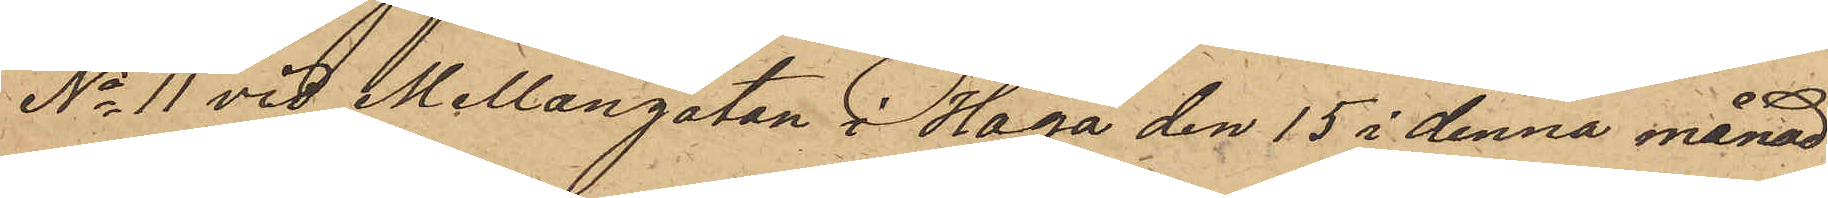No 11 vid Mellangatan i Haga den 15 i denna månad
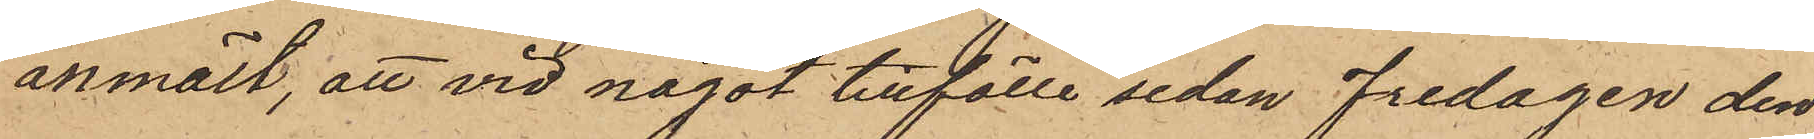anmält, att vid något tillfälle sedan Fredagen den
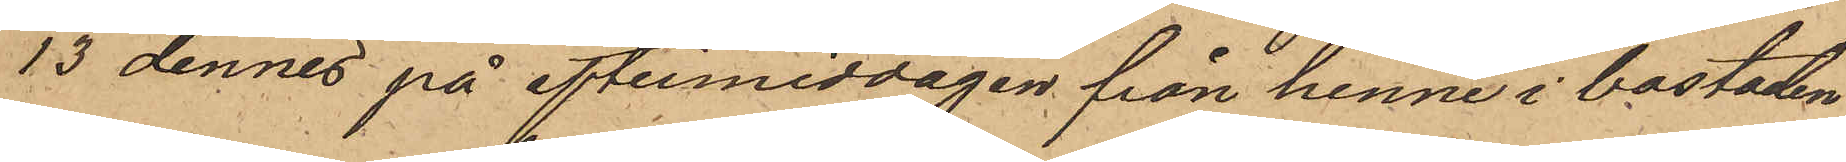13 dennes på eftermiddagen från henne i bostaden
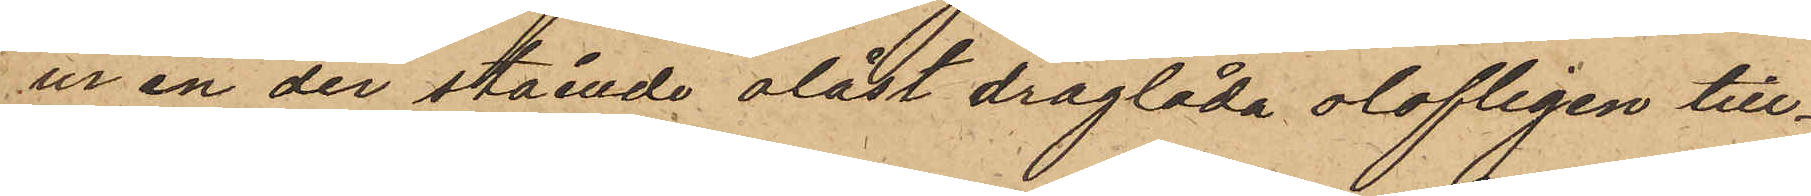ur en der stående olåst draglåda olofligen till¬
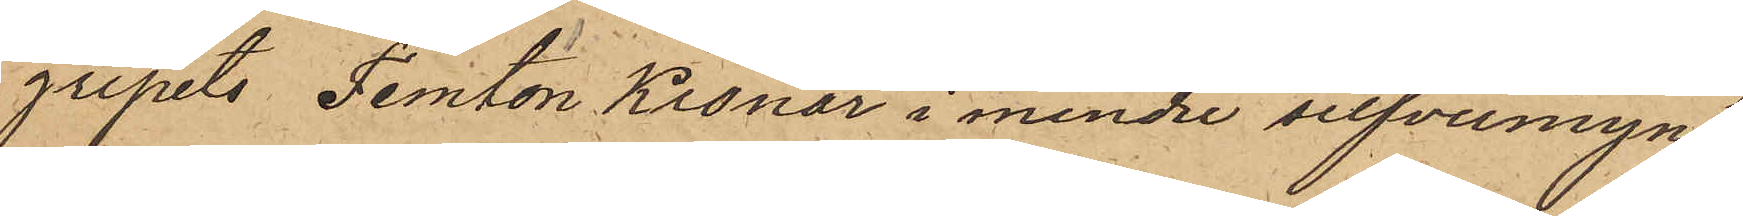gripits Femton Kronor i mindre silfvermynt,
